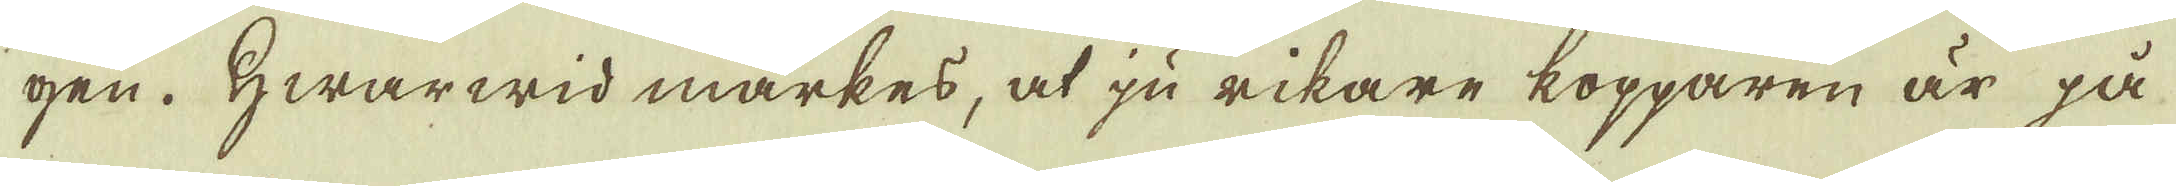gen. Hwarwid märkes, at ju rikare kopparen är på
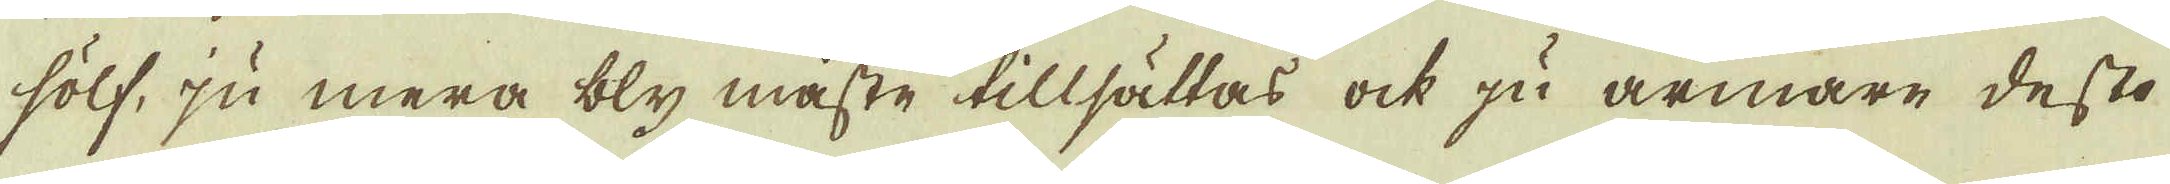sölf, ju mera bly måste tillsättas ock ju armare desto
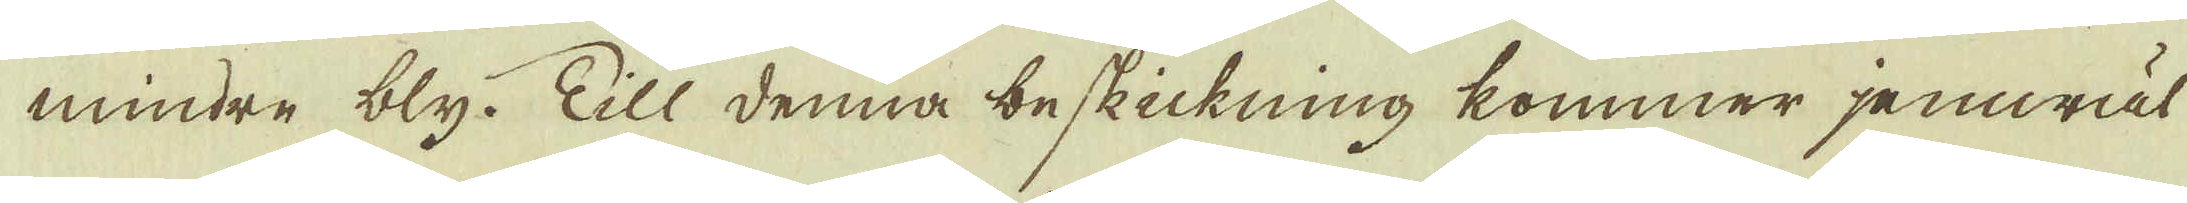mindre bly. Till denna beskickning kommer jemwäl
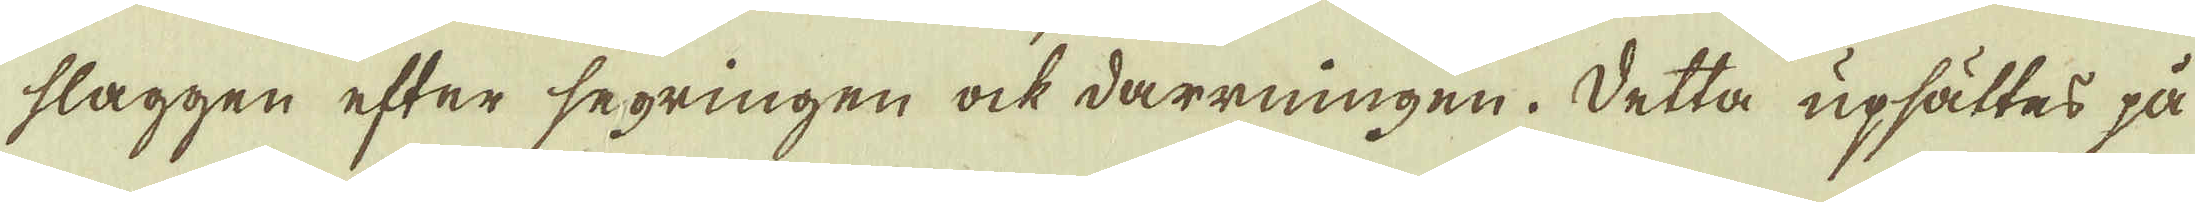slaggen efter segringen ock darrningen. Detta upsättes på
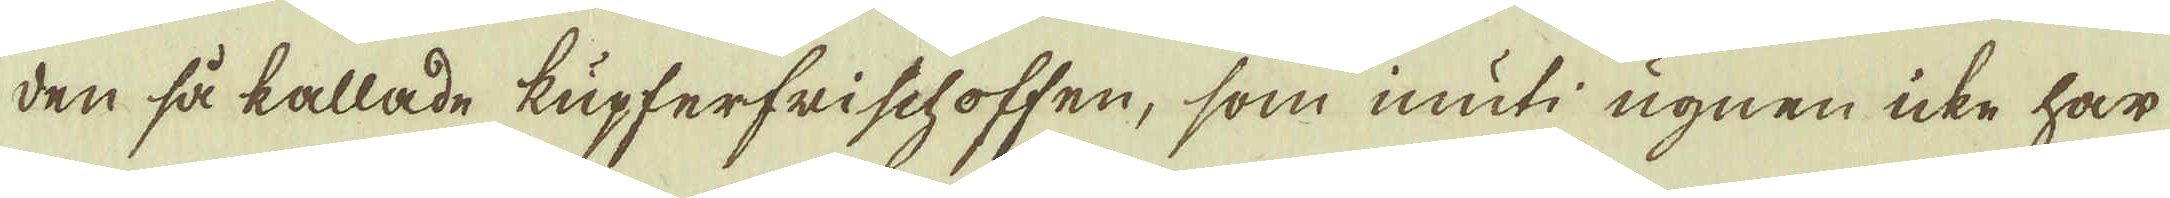den så kallade kupferfrischoffen, som inuti ugnen icke har
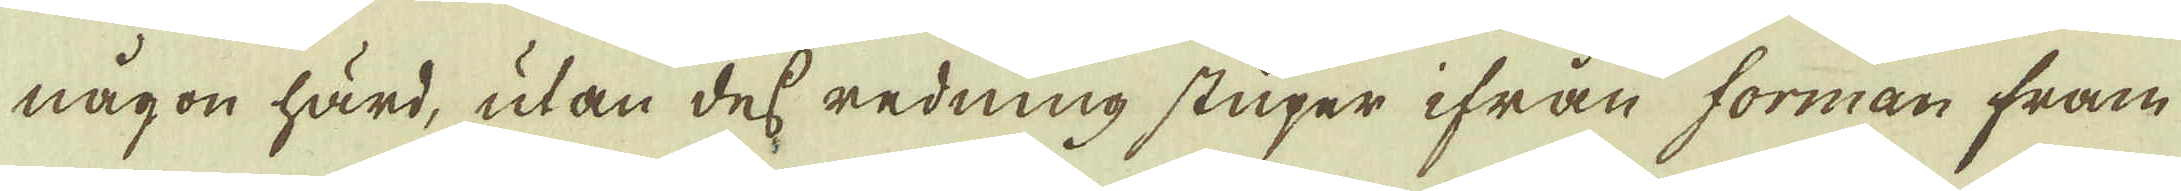någon härd, utan dess redning stupar ifrån forman fram
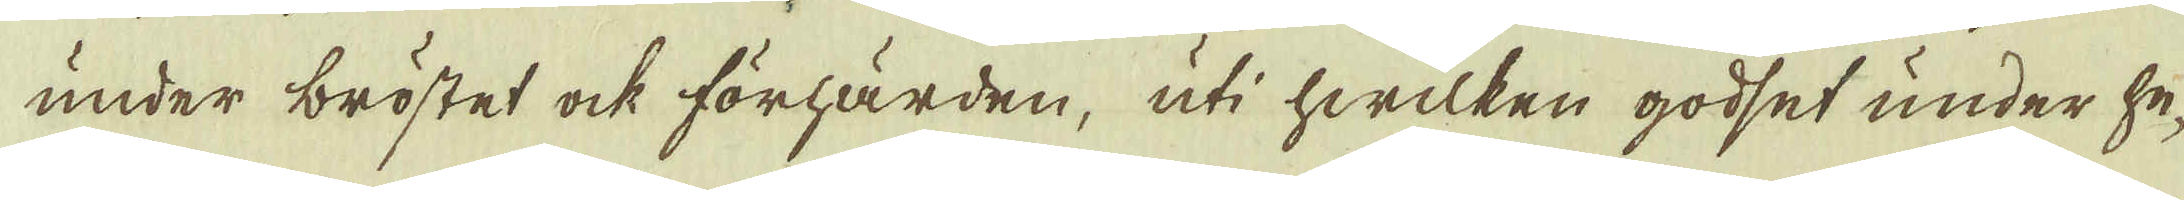under bröstet ock förhärden, uti hwilken godset under he-
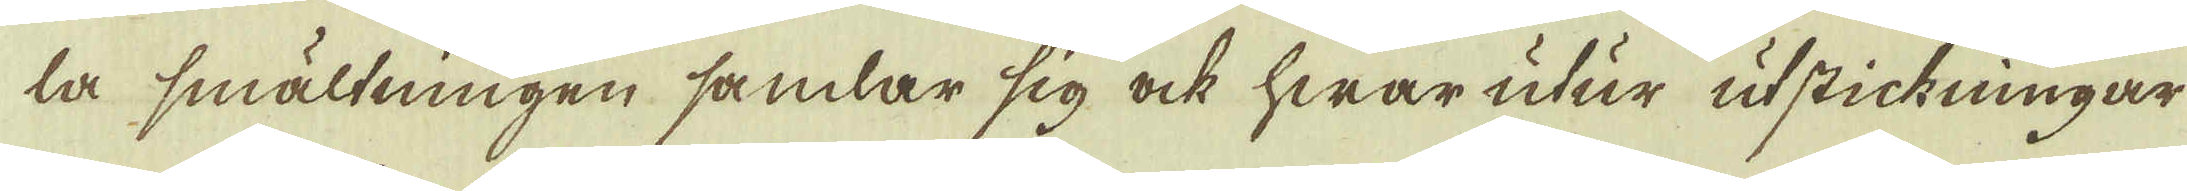la smältningen samlar sig ock hwar utur utstickningar
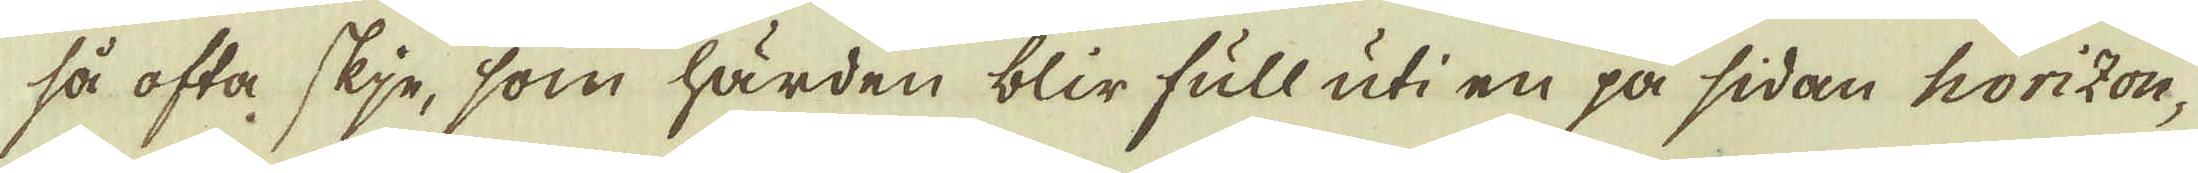så ofta skje, som härden blir full uti en på sidan horizon-
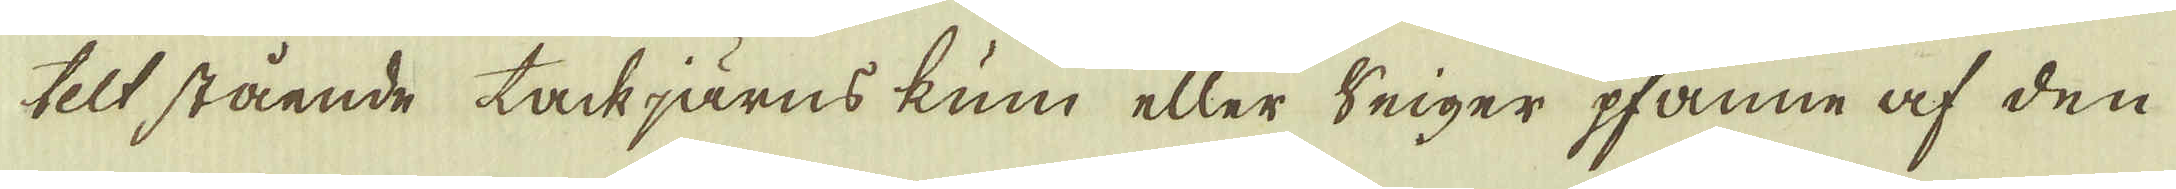telt stående tackjärns kum eller Seiger pfanne af den
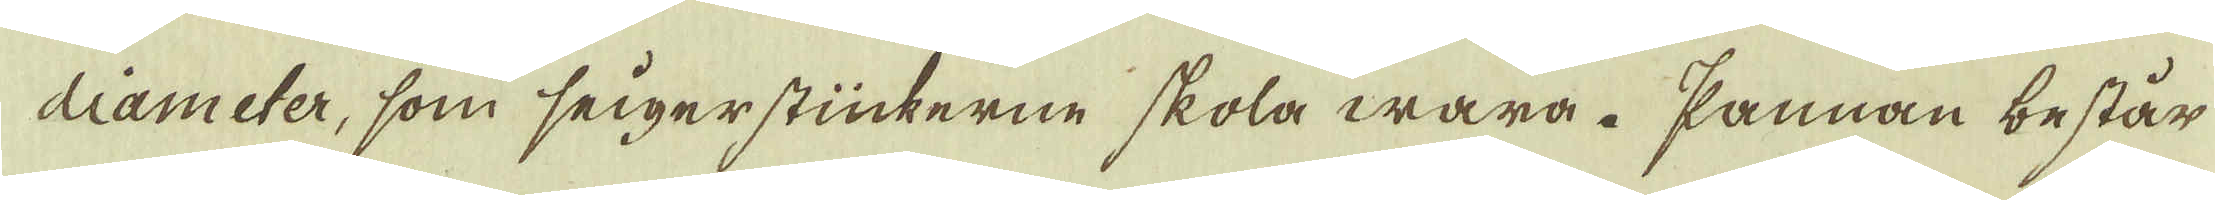dliameter, som seigerstückerne skola wara. Pannan består
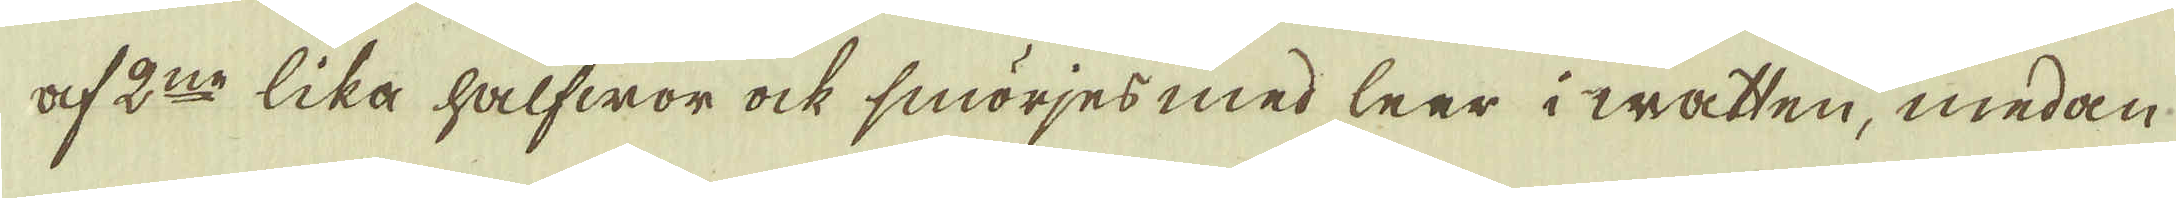af 2:ne lika halfwor ock smörjes med leer i watten, medan
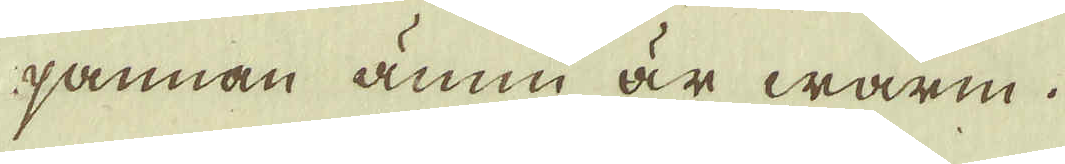pannan ännu är warm.
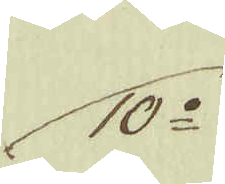10:o
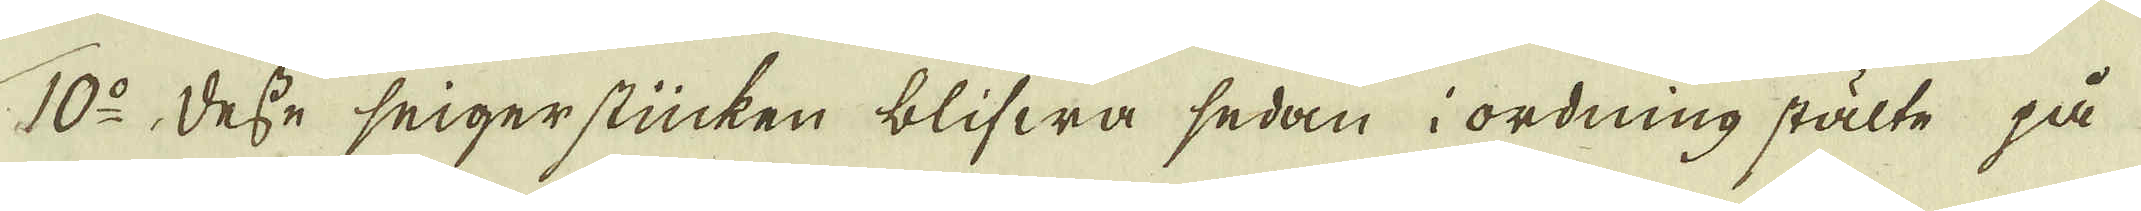10:o Desse seigerstücken blifwa sedan i ordning stälte på
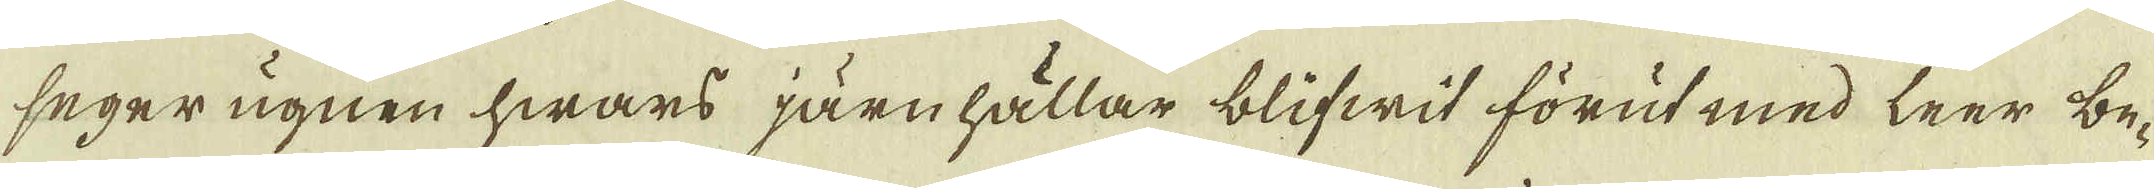seger ugnen hwars järnhällar blifwit förut med leer be-
